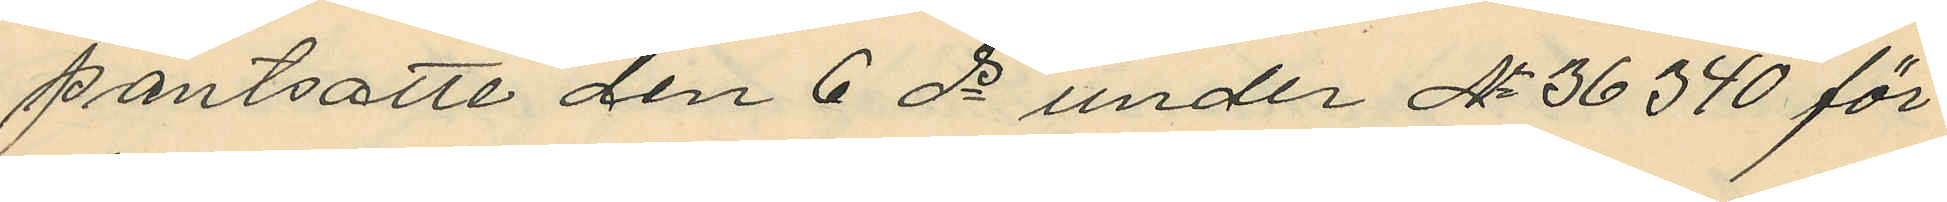pantsatte den 6 ds under No 36340 för
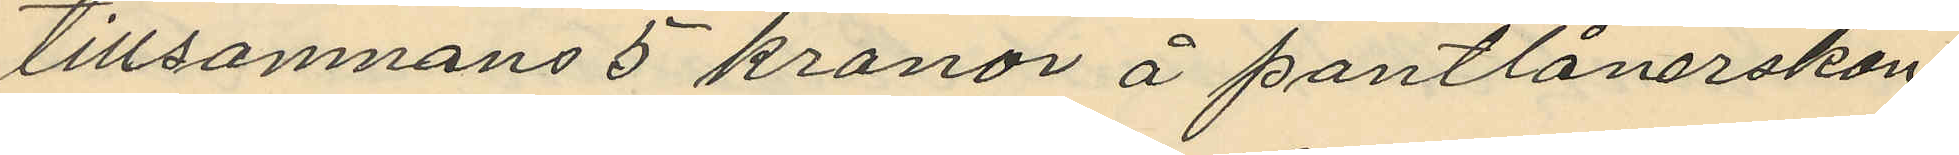tillsamnans 5 kronor å pantlånerskan
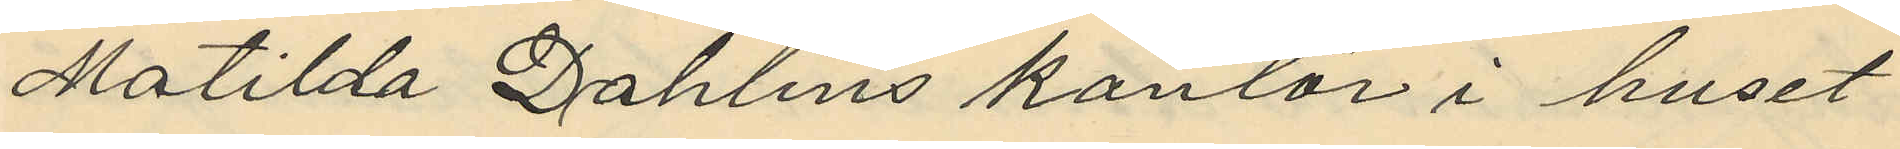Matilda Dahlins kontor i huset
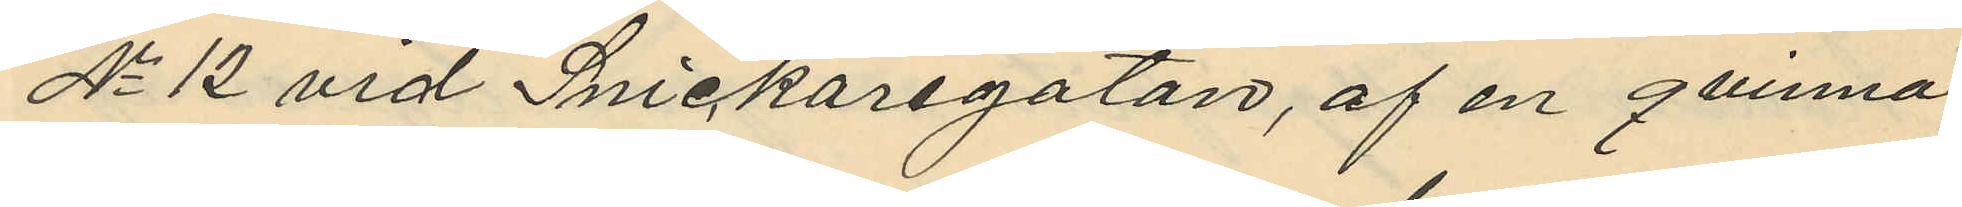No 12 vid Snickaregatan, af en qvinna
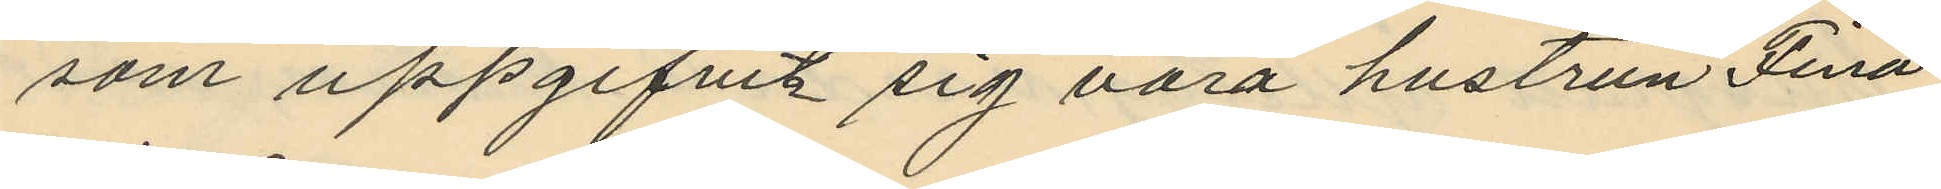som uppgifvit sig vara hustrun Fina
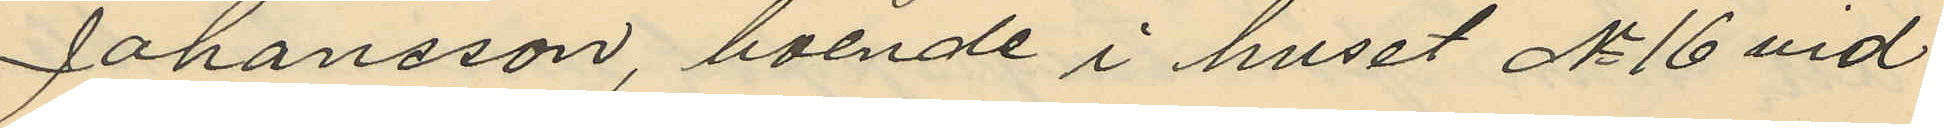Johansson, boende i huset No 16 vid
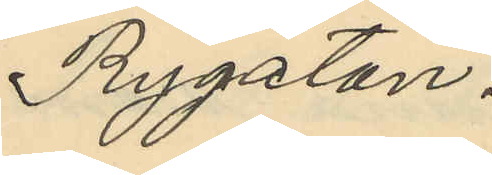Rygatan.
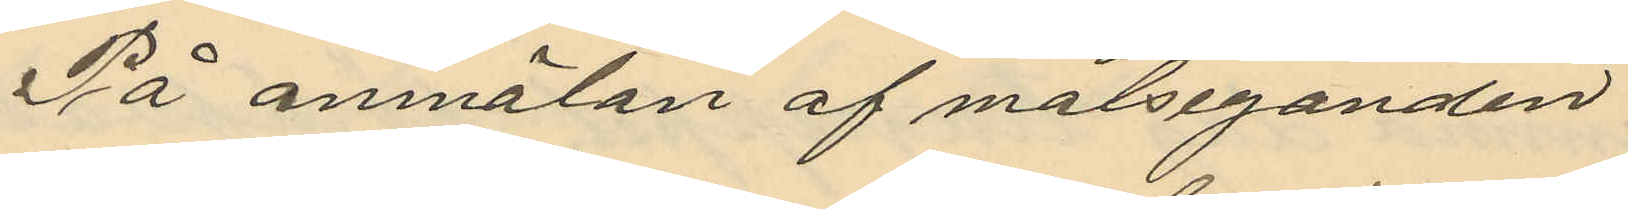På anmälan af målseganden
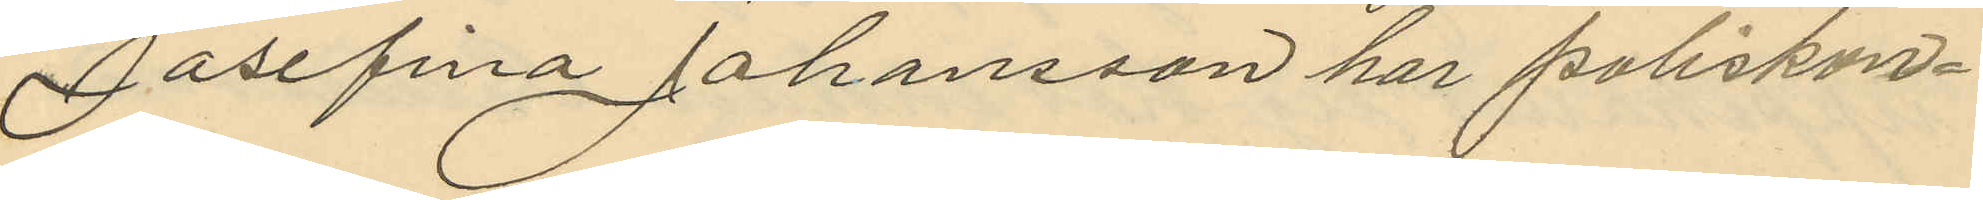Josefina Johansson har poliskon¬
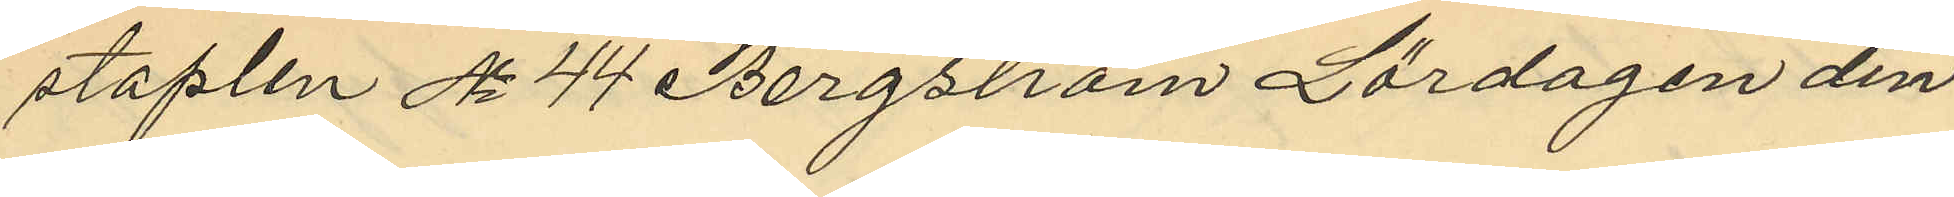staplen No 44 Bergström Lördagen den
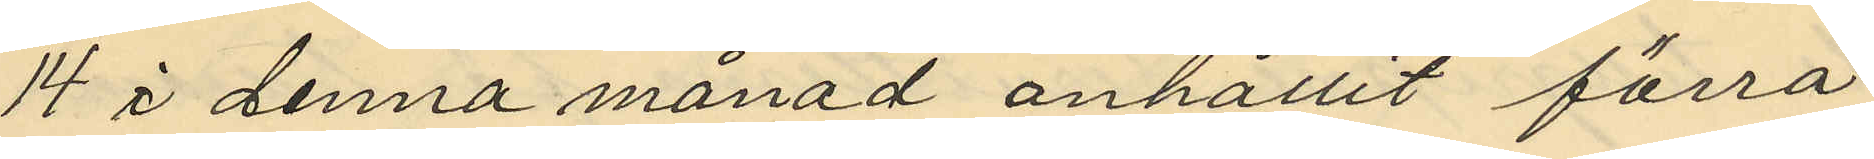14 i denna månad anhållit förra
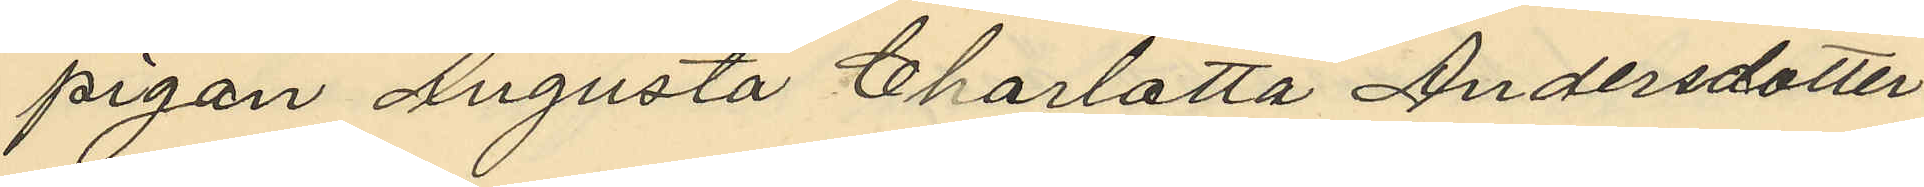pigan Augusta Charlotta Andersdotter
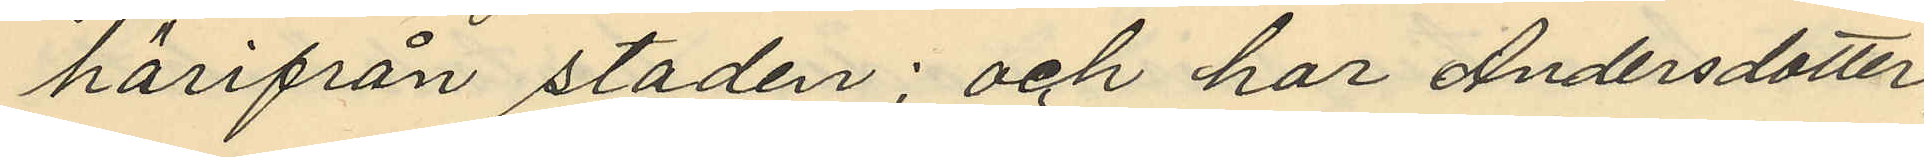härifrån staden; och har Andersdotter
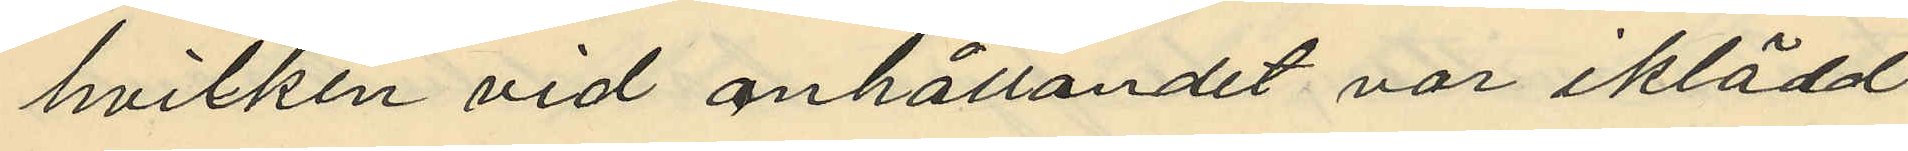hvilken vid anhållandet var iklädd
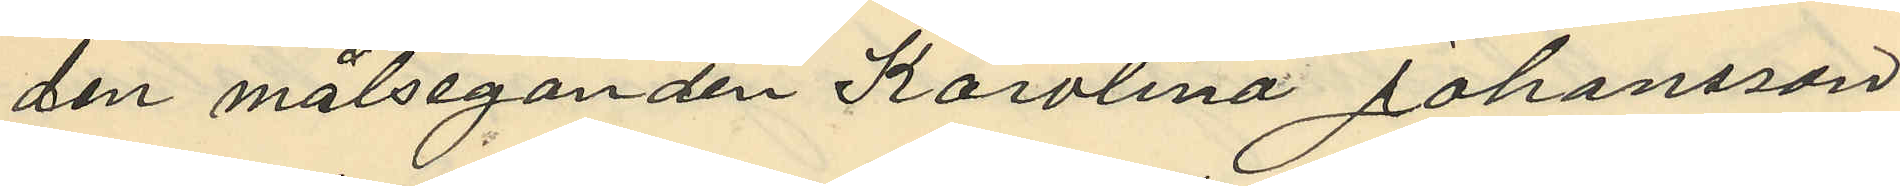den målseganden Karolina Johansson
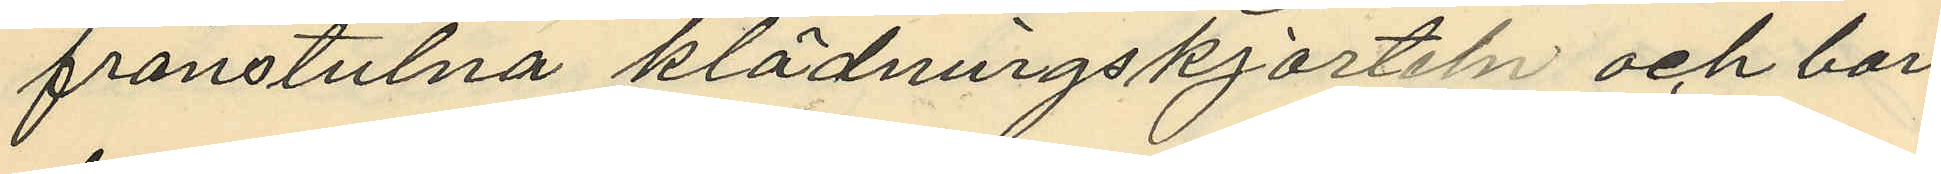frånstulna klädningskjorteln och bar
